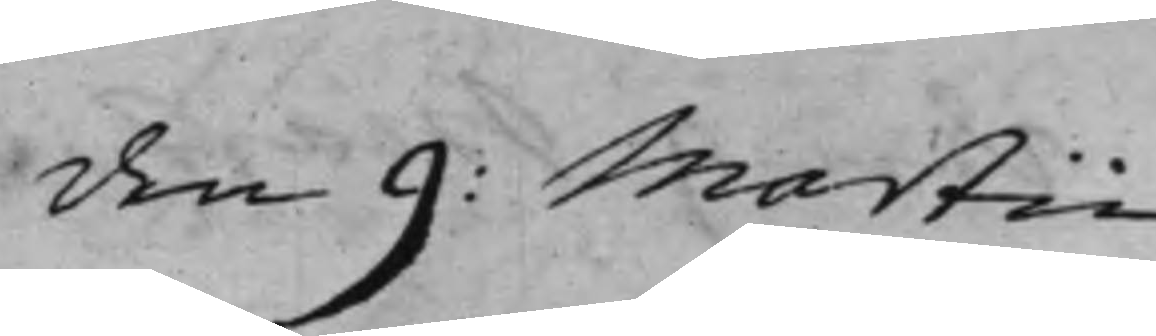den 9: Martii
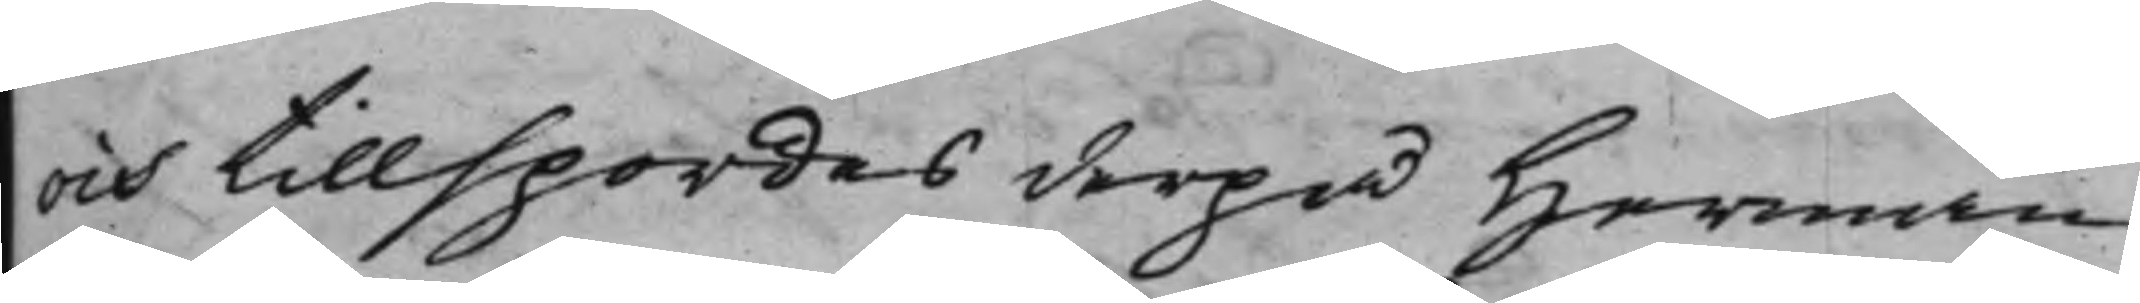och tillspordes derpå Herman
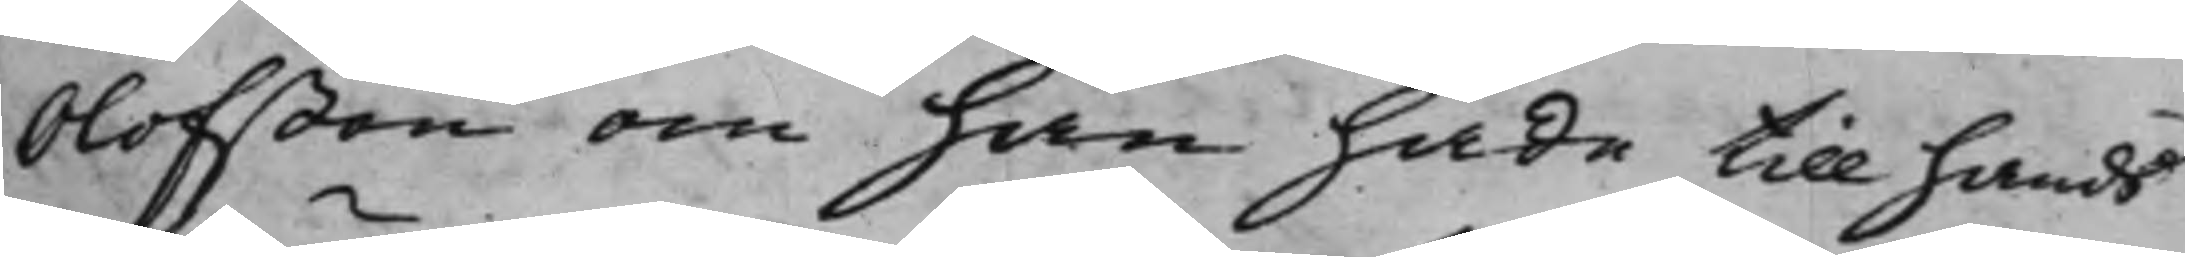Olofßon om han hade till hands
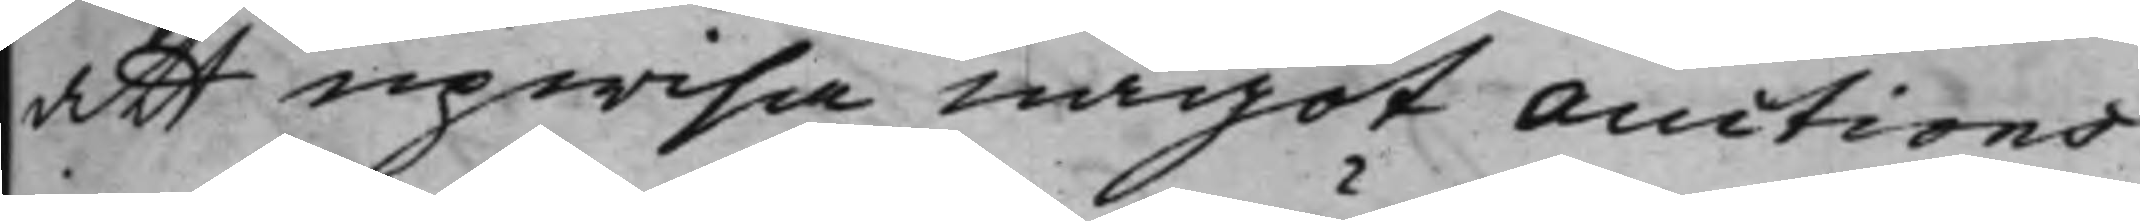att upwisa något auctions¬
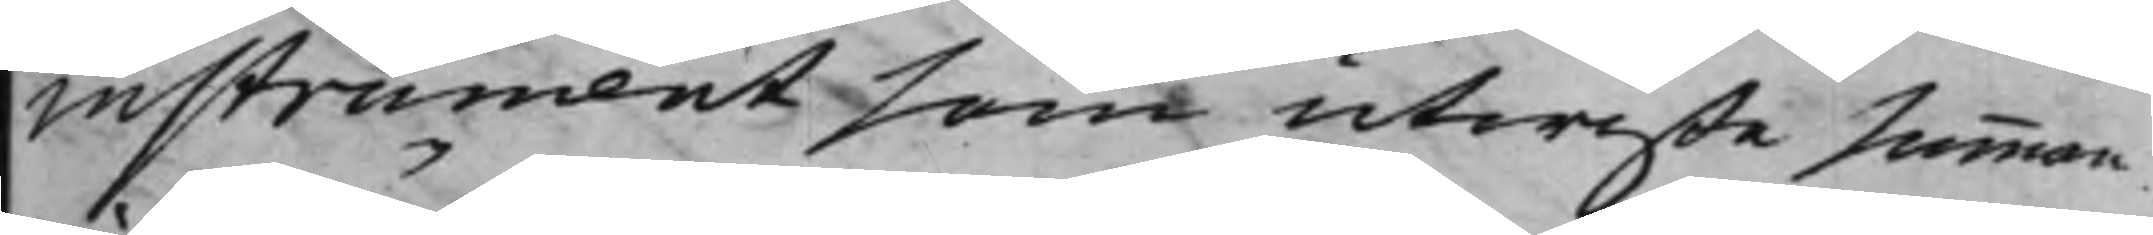instrument som utwiste summan
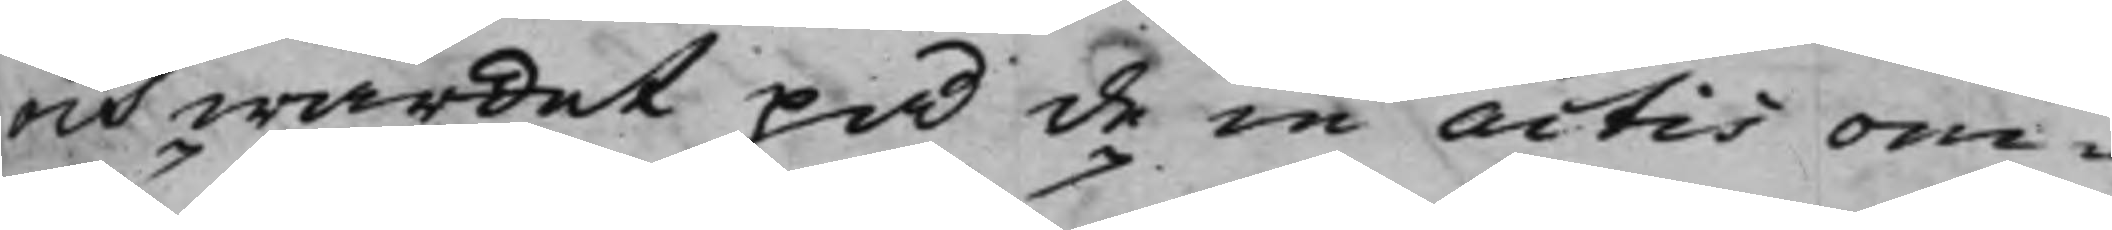och wärdet på de in actis om¬
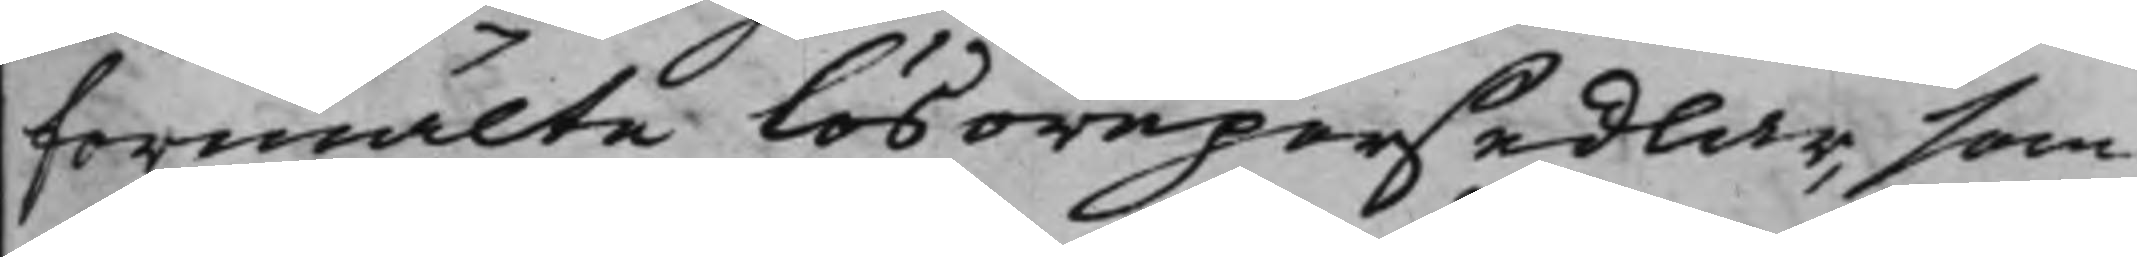förmälte Lösörepersedlar, som
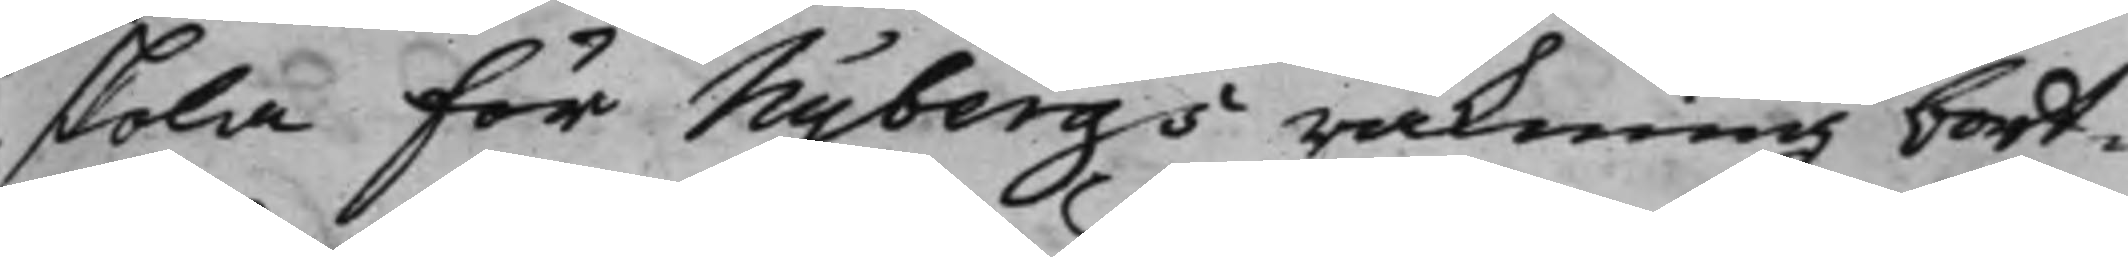skola för Nybergs räkning bort¬
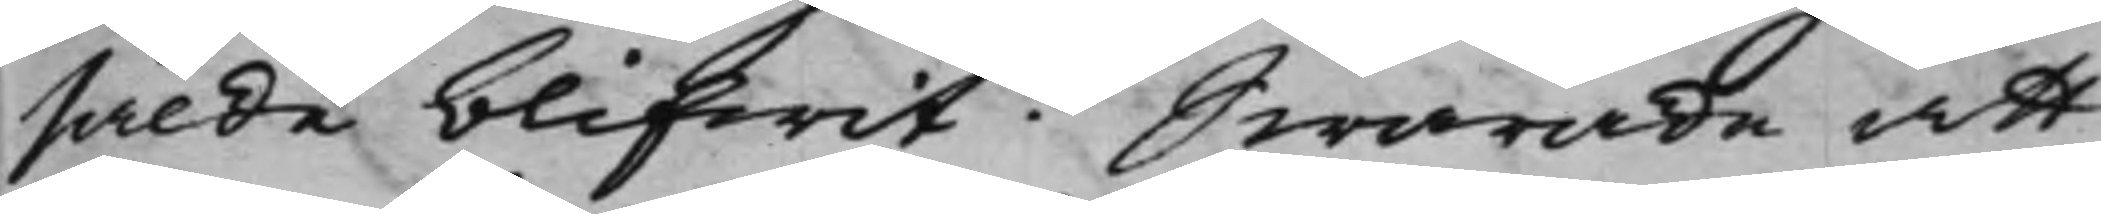sålde blifwit. Swarade att
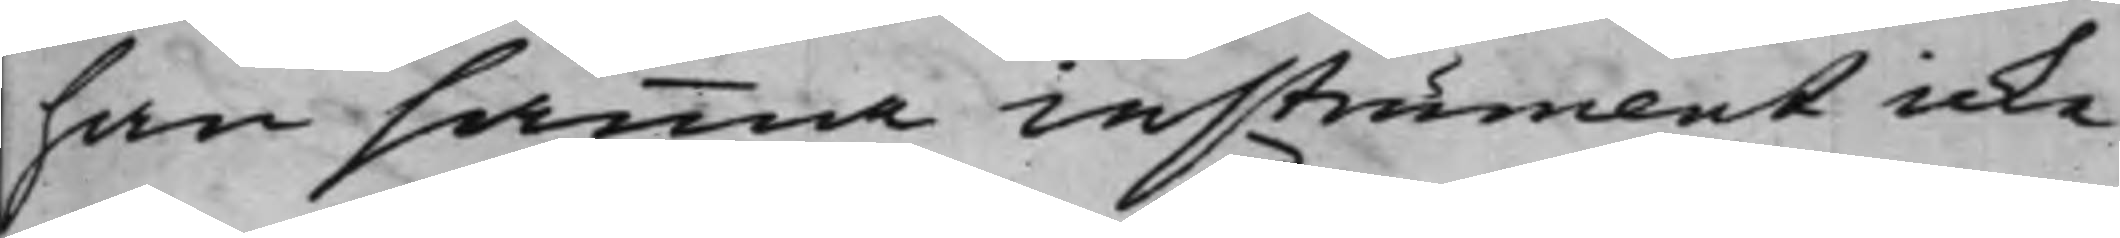han samma instrument icke
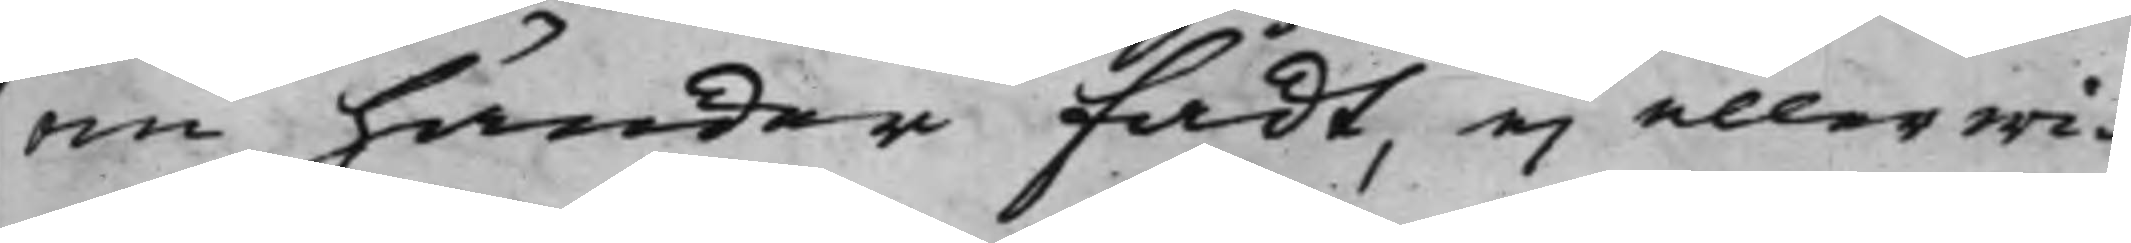om händer fådt, ei eller wi¬
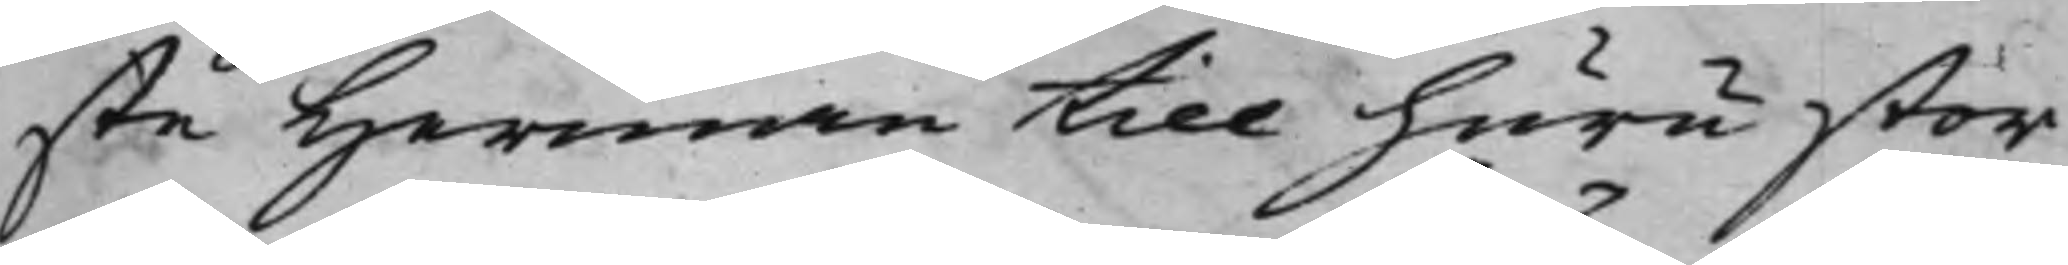ste Herman till huru stor
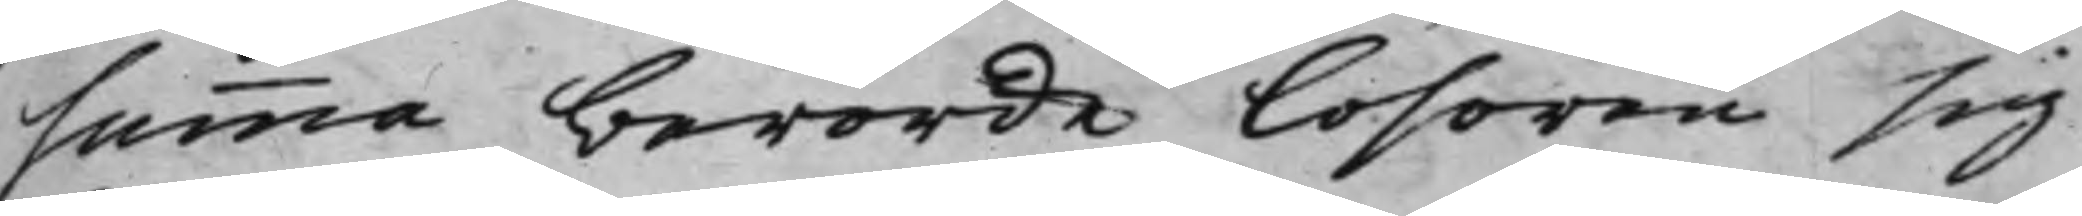summa berörde Lösören sig
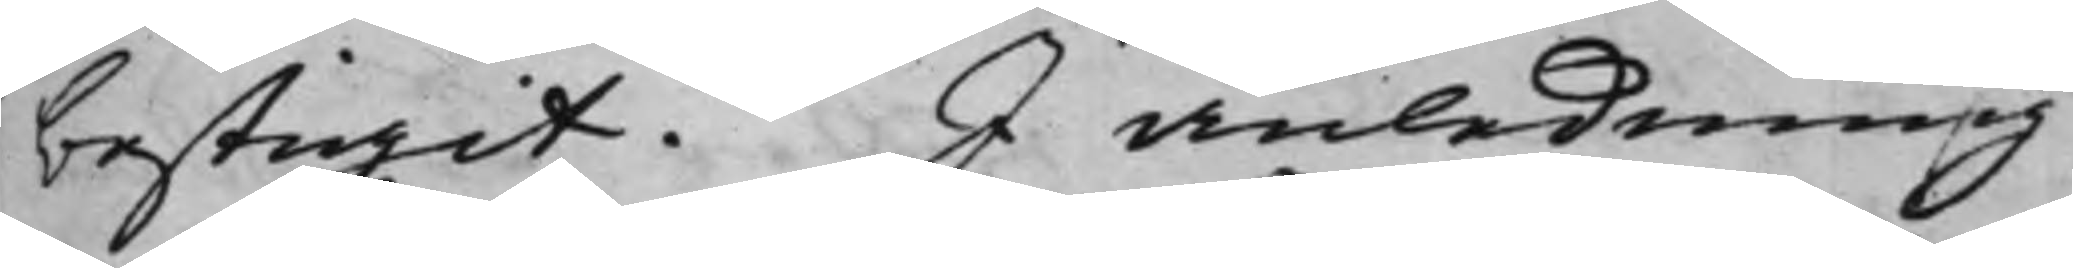bestigit. I anledning
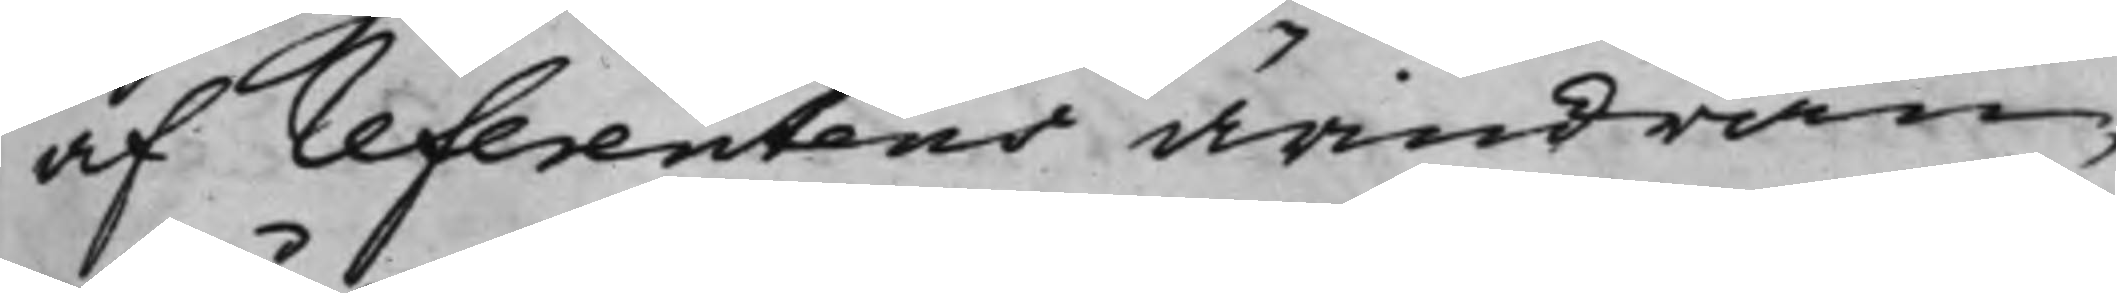af referentens ärindran,
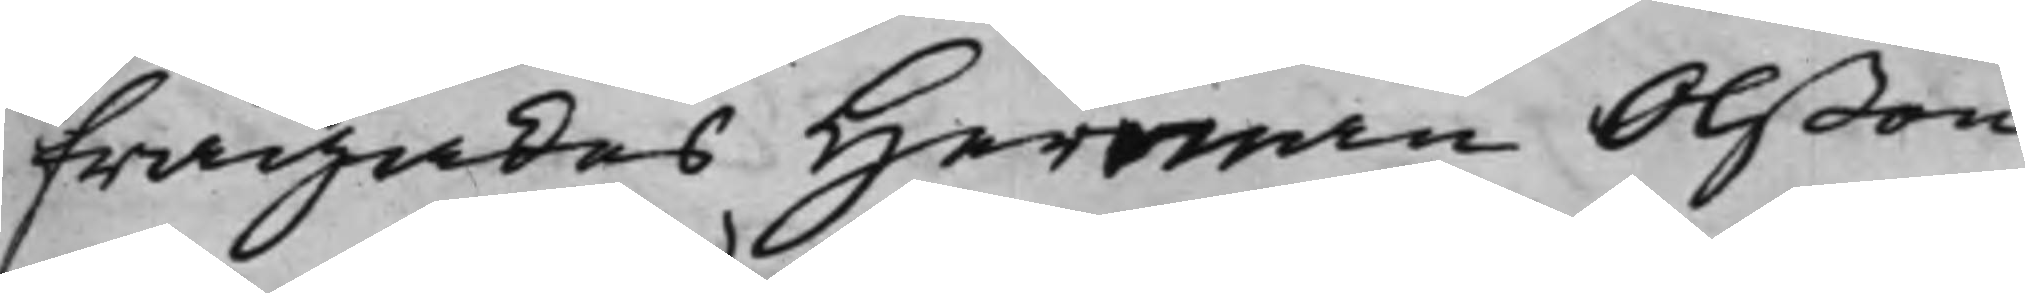frågades Herman Olßon
